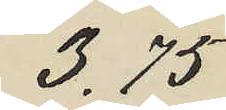3.75
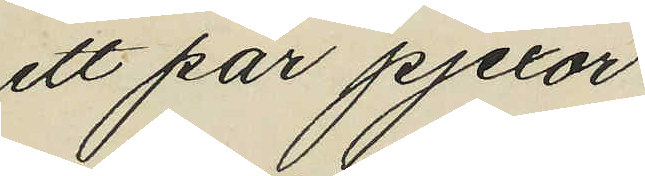ett par pjexor
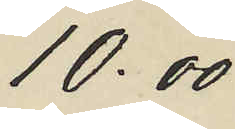10.00
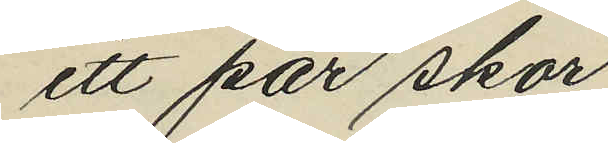ett par skor
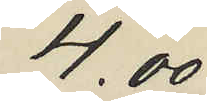4.00
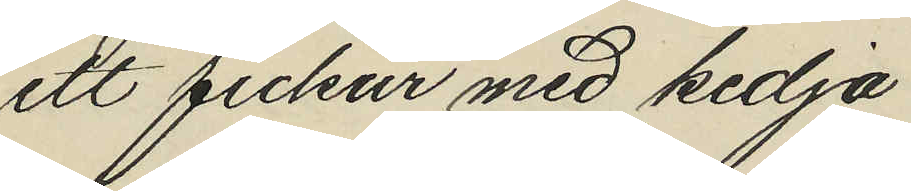ett fickur med kedja
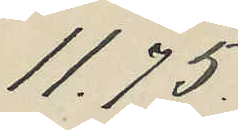11.75
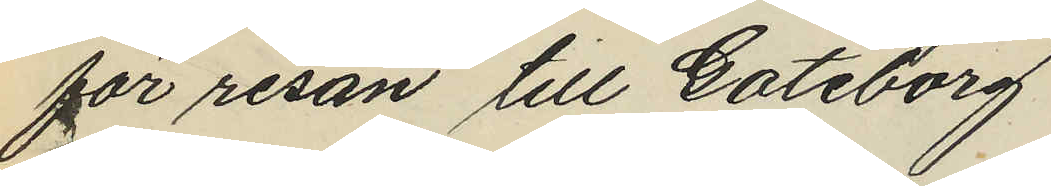för resan till Göteborg
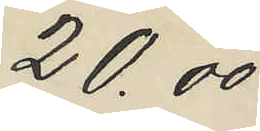20.00
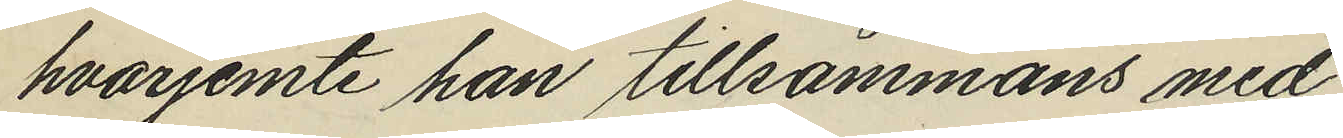hvarjemte han tillsammans med
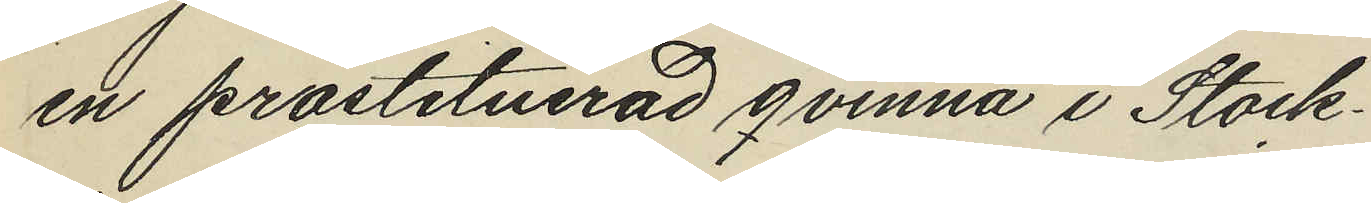en prostituerad qvinna i Stock¬
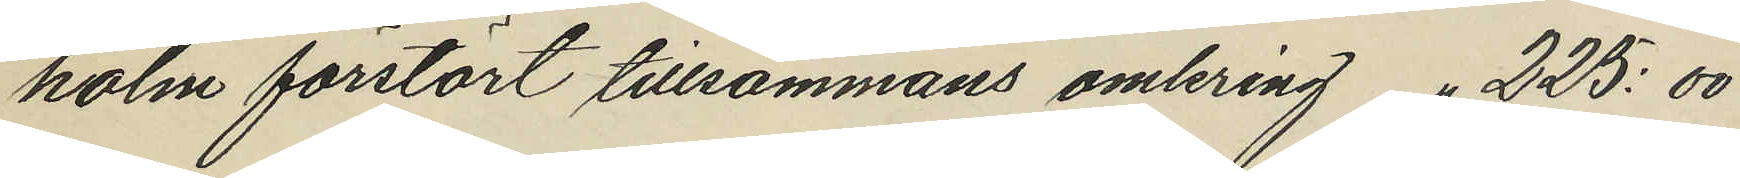holm förstört tillsammans omkring " 225:00
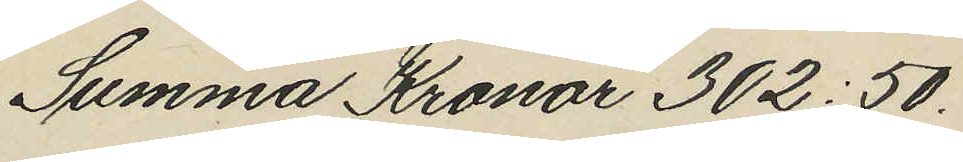Summa Kronor 302:50.
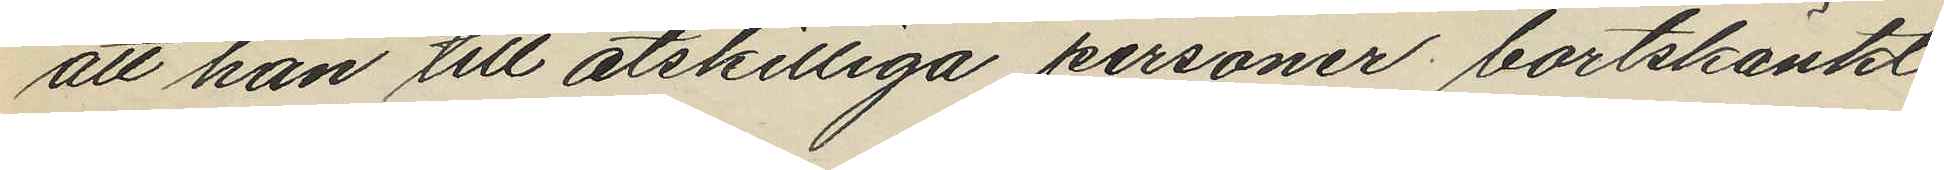att han till åtskilliga personer bortskänkt
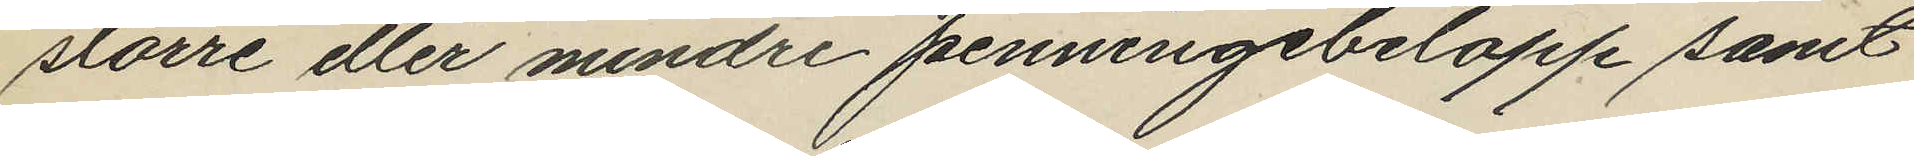större eller mindre penningebelopp samt
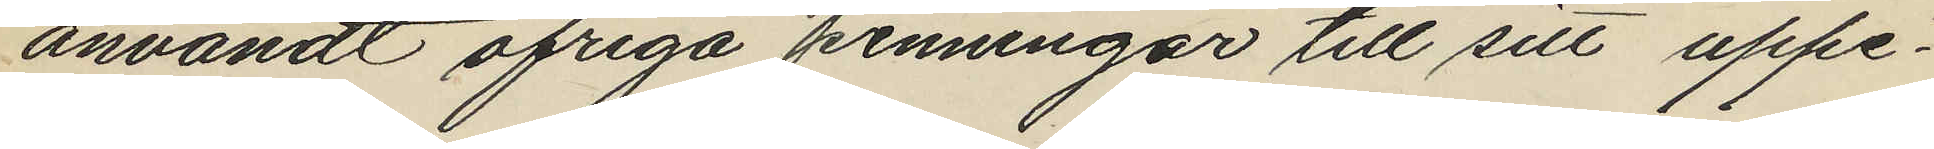användt öfriga penningar till sitt uppe¬
